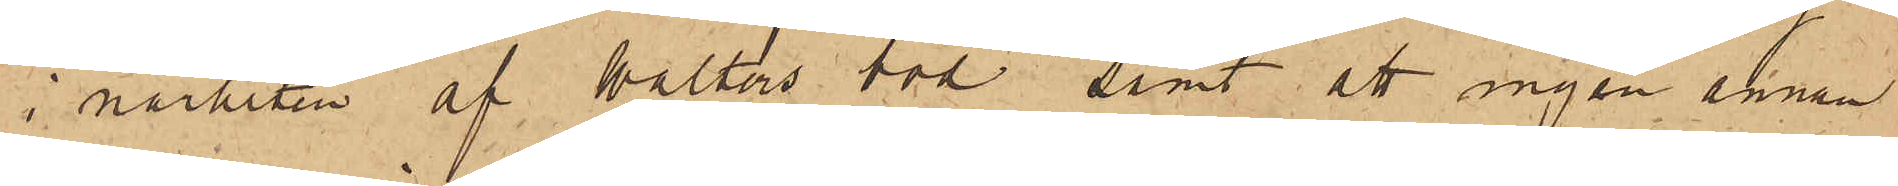i närheten af Walters bod, samt att ingen annan
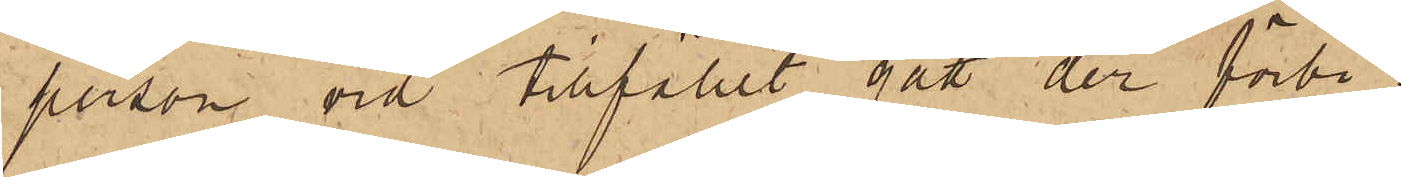person vid tillfället gått der förbi.
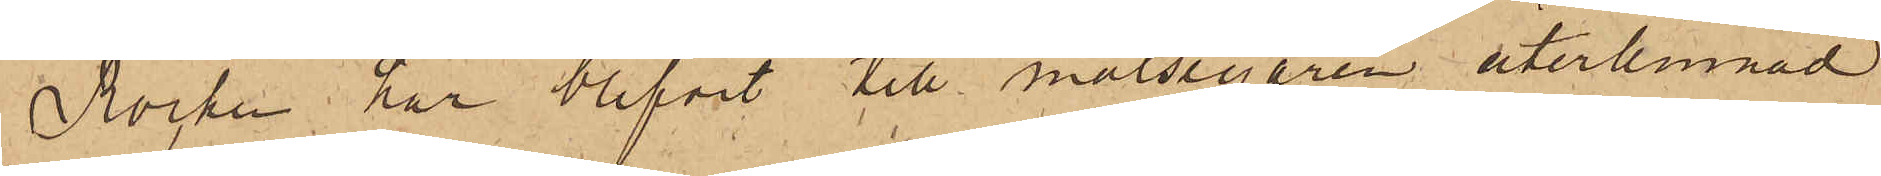Rocken har blifvit till målsegaren återlemnad
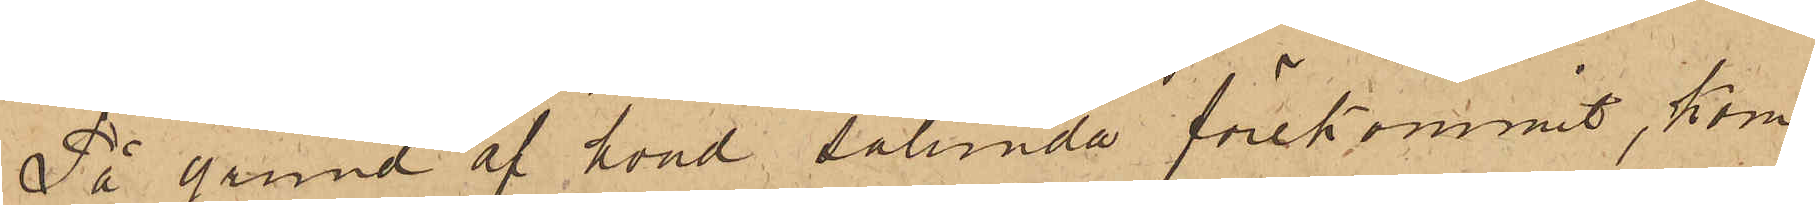På grund af hvad sålunda förekommit, kom¬
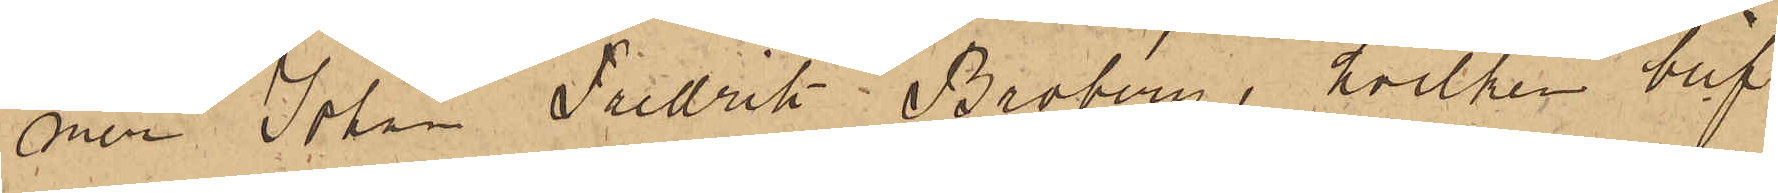mer Johan Fredrik Broberg, hvilken blif¬
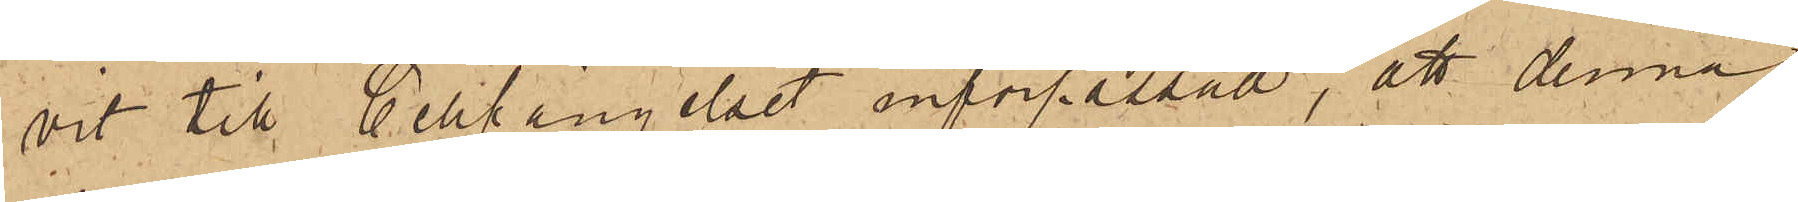vit till Cellfängelset införpassad, att denna
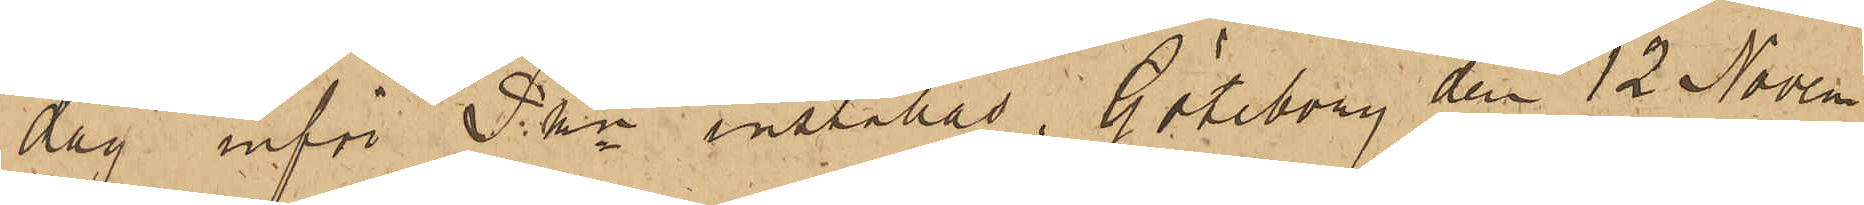dag inför Pkn inställas. Göteborg den 12 Novem¬
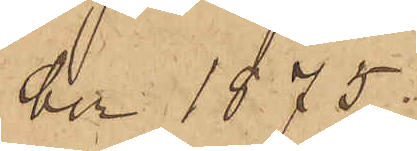ber 1875.
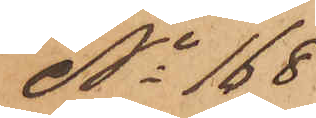No 168
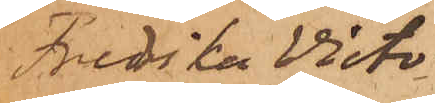Fredrika Victo¬
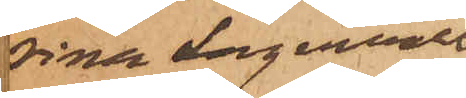rina Lagervall
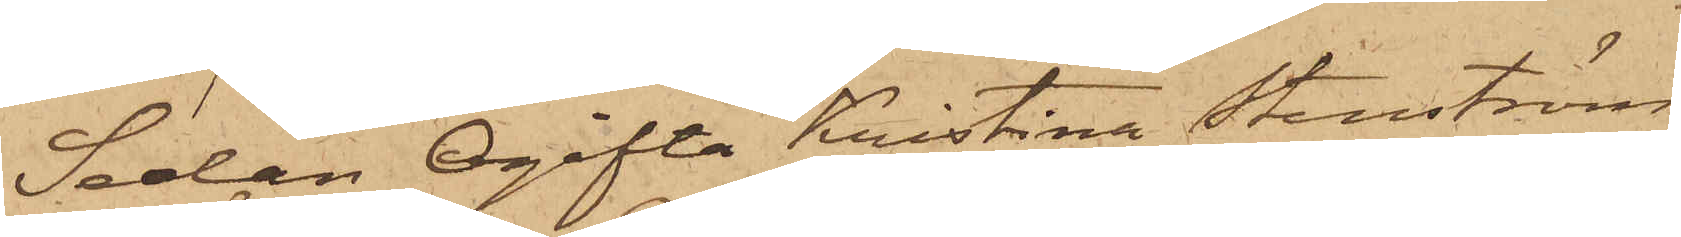Sedan Ogifta Kristina Stenström,
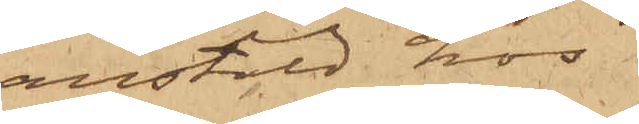anstäld hos
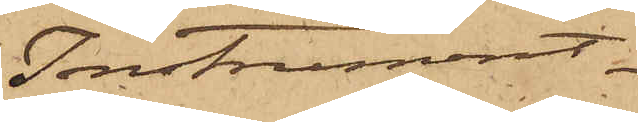Instrument¬
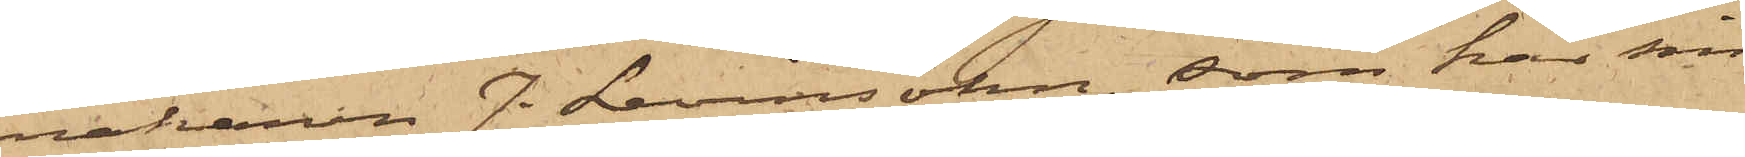makaren J. Levinsohn, som har sin
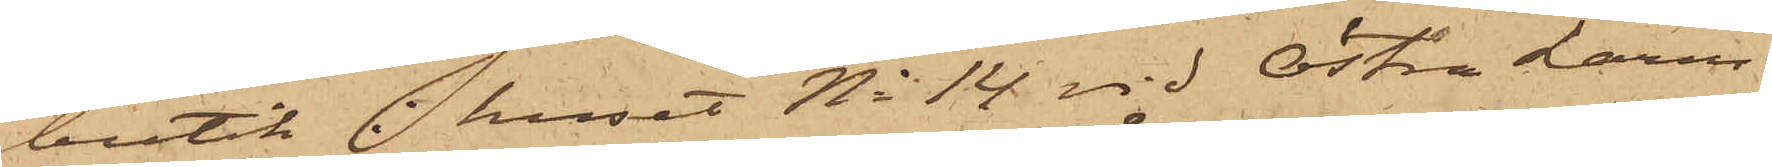butik i huset No 14 vid Östra Larm¬
